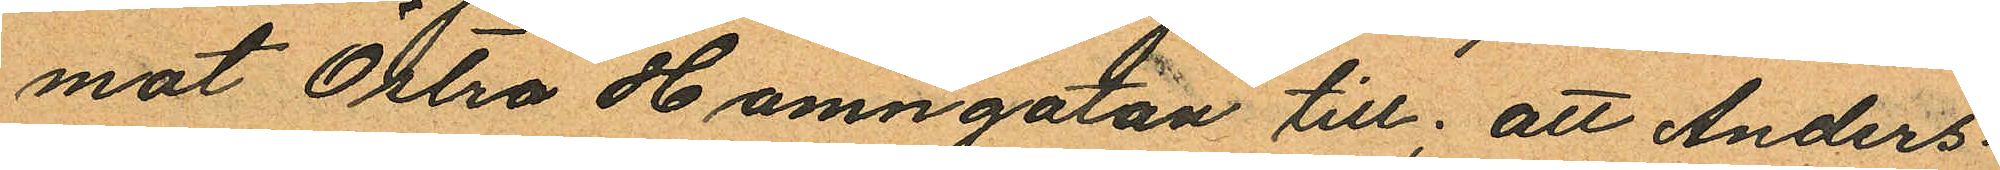mot Östra Hamngatan till; att Anders¬
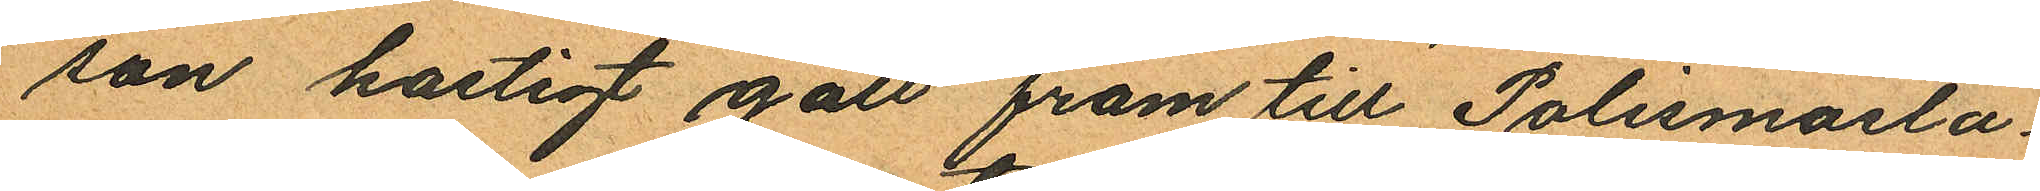son hastigt gått fram till Polismästa
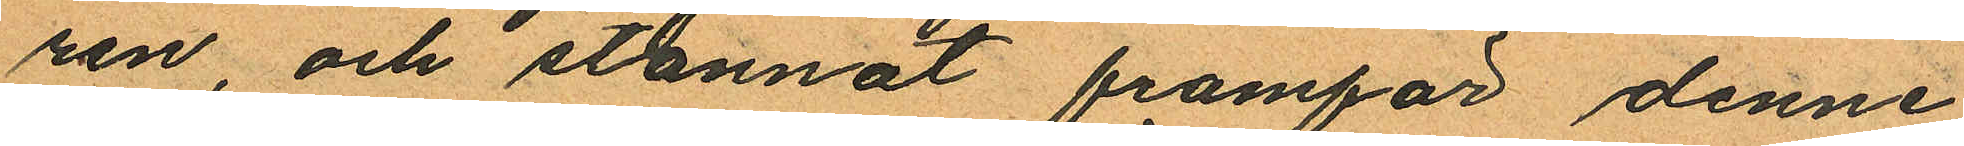ren, och stannat framför denne
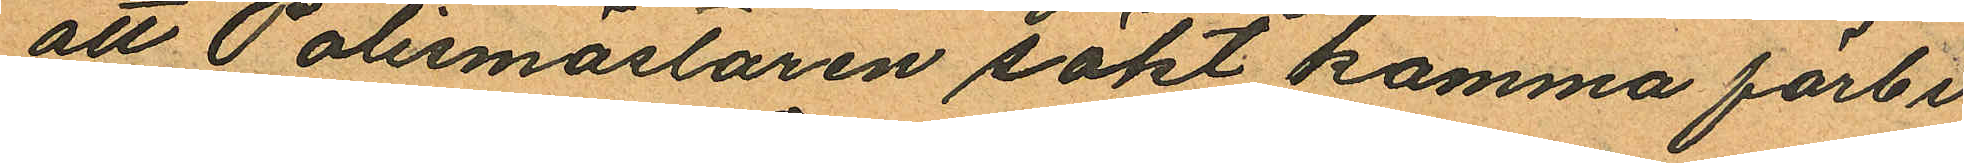att Polismästaren sökt komma förbi
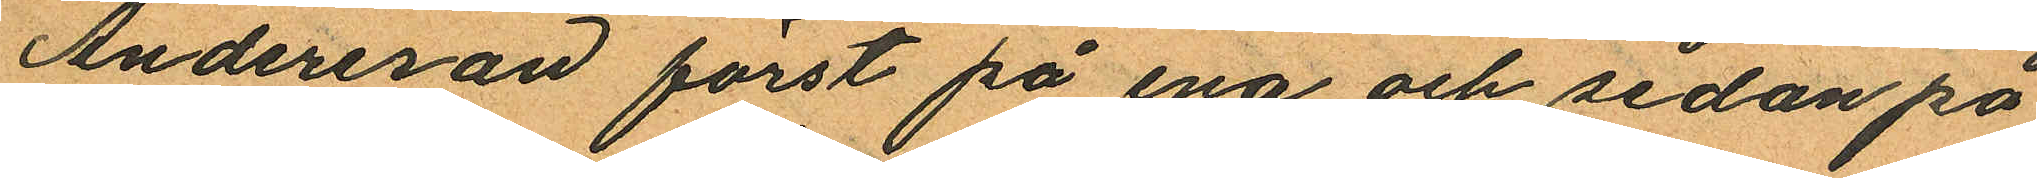Andersron först på ena och sedan på
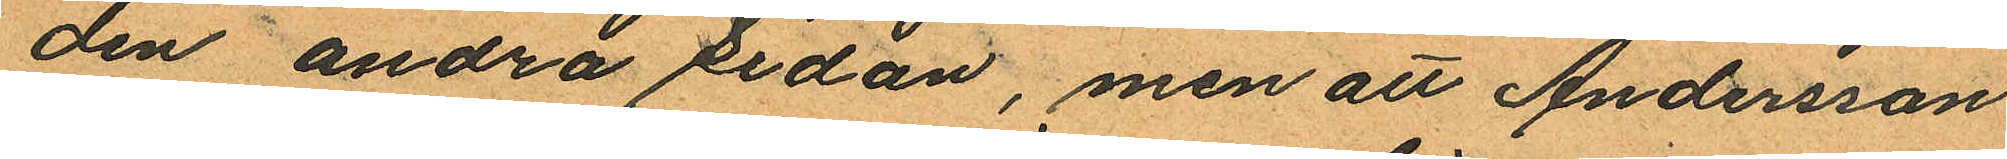den andra sidan, men att Andersson
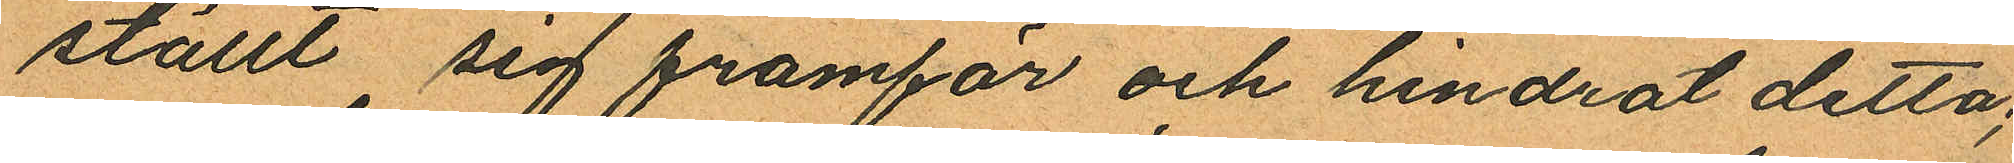ställt sig framför och hindrat detta;
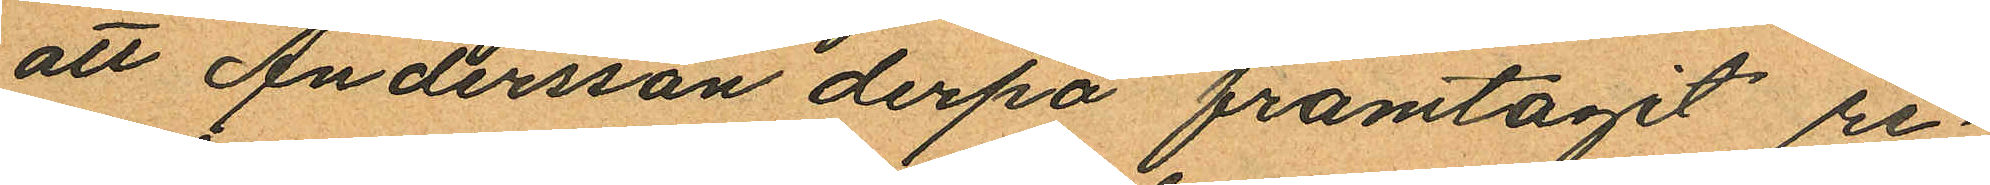att Andersson derpå framtagit re¬
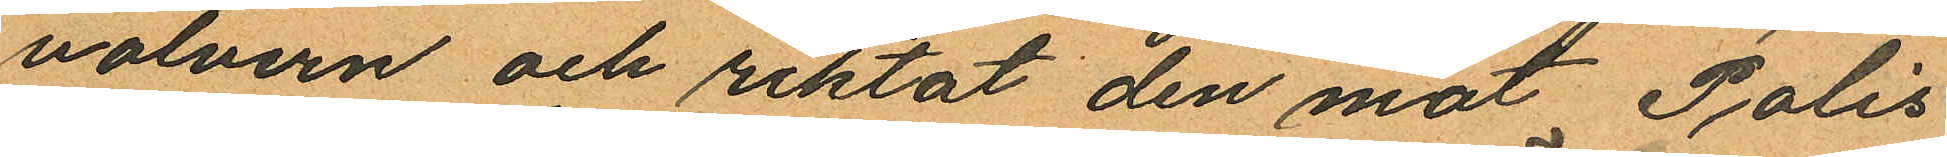volvern och riktat den mot Polis
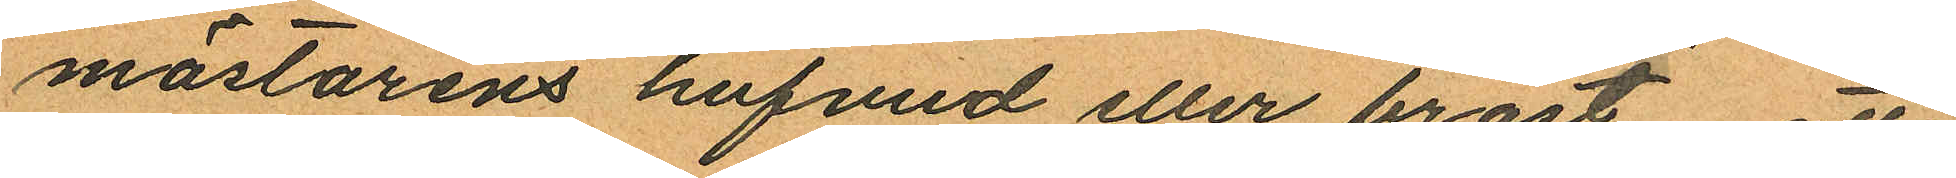mästarens hufvud eller bröst, att
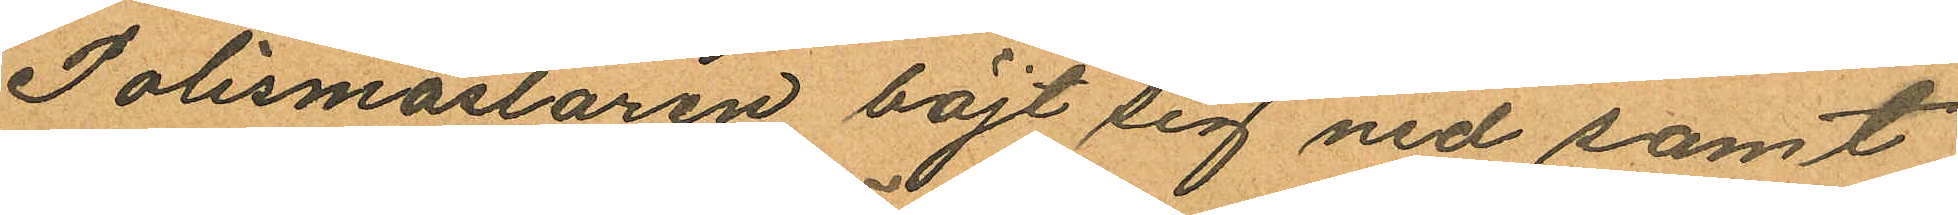Polismästaren böjt sig ned samt
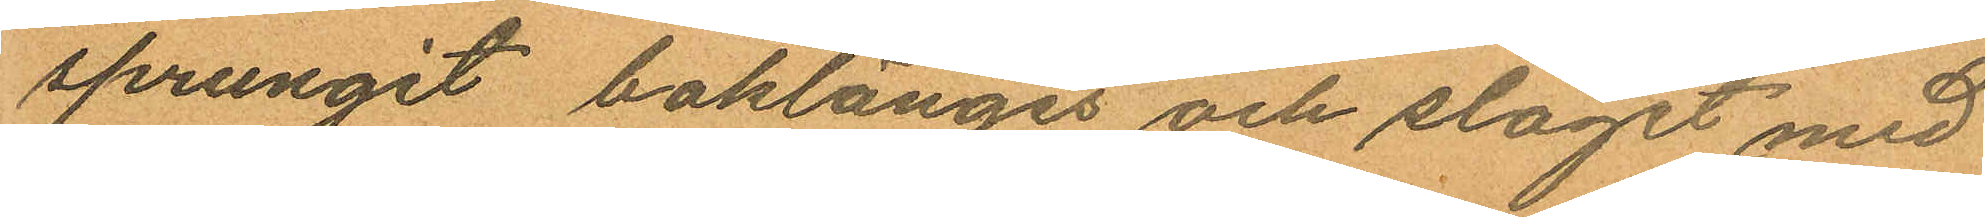sprungit baklänges och slagit med
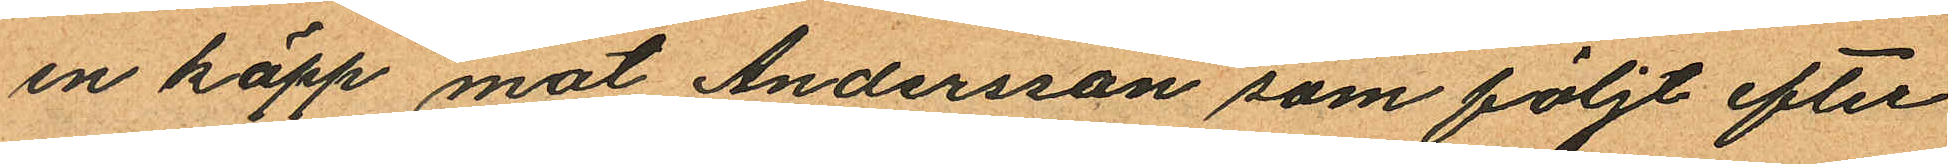en käpp mot Andersson som följt efter
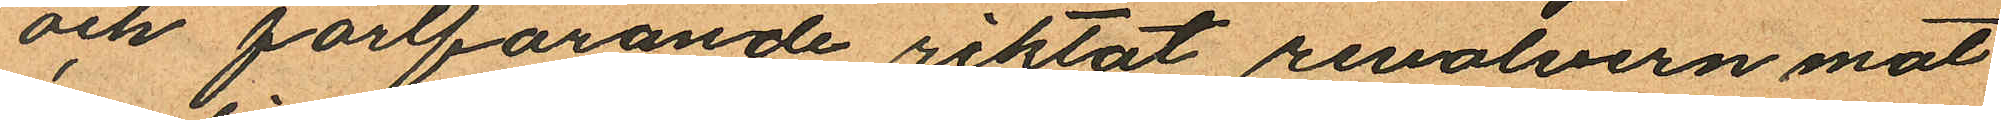och fortfarande riktat revolvern mot
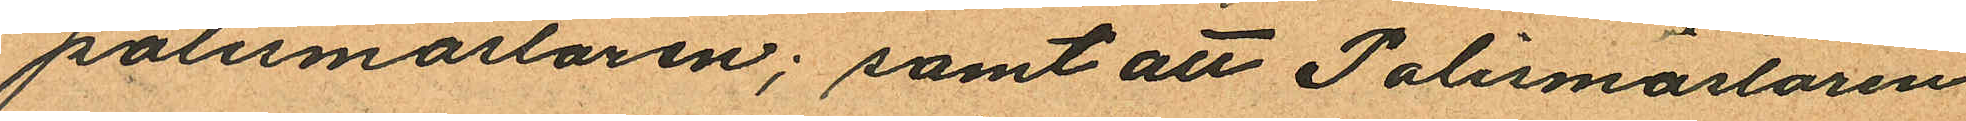polismästaren; samt att Polismästaren
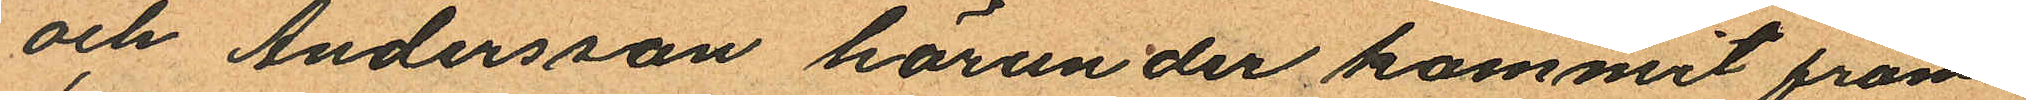och Andersson härunder kommit fram
